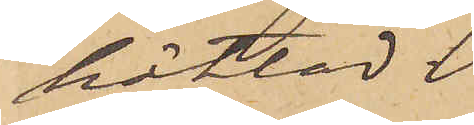häktad.
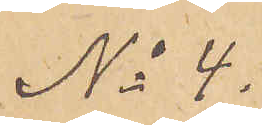No 4.
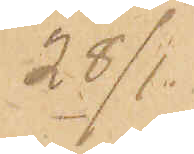28/1.
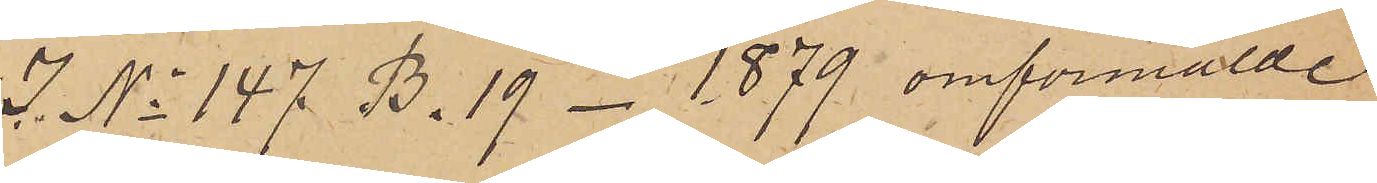I No 147 B. 19 - 1879 omförmälde
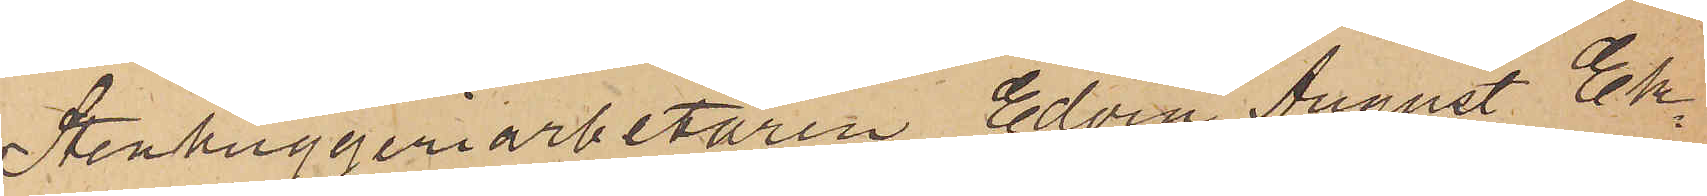Stenhuggeriarbetaren Edvin August Ek¬
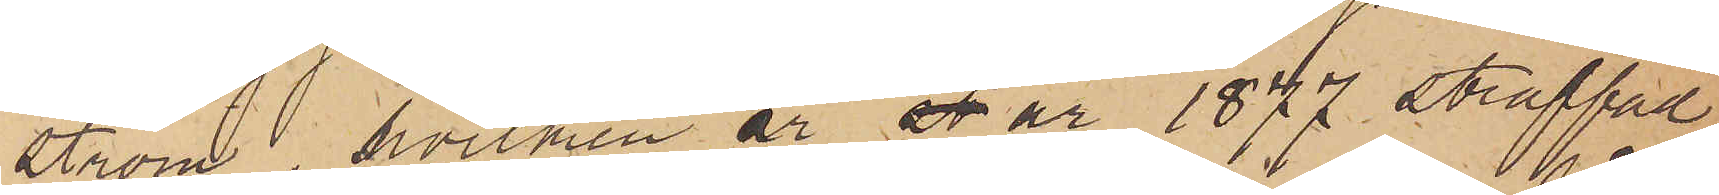ström, hvilken är st år 1877 straffad
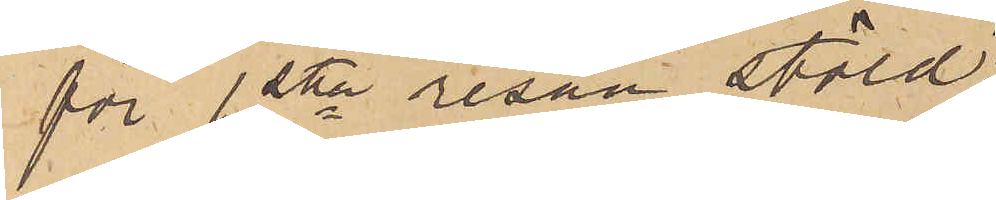för 1sta resan stöld;
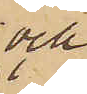och
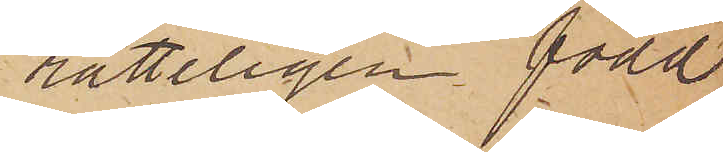rätteligen född
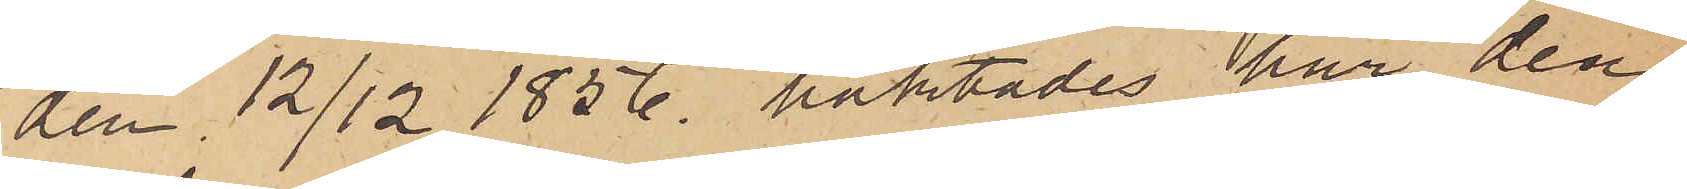den 12/12 1856 häktades här den
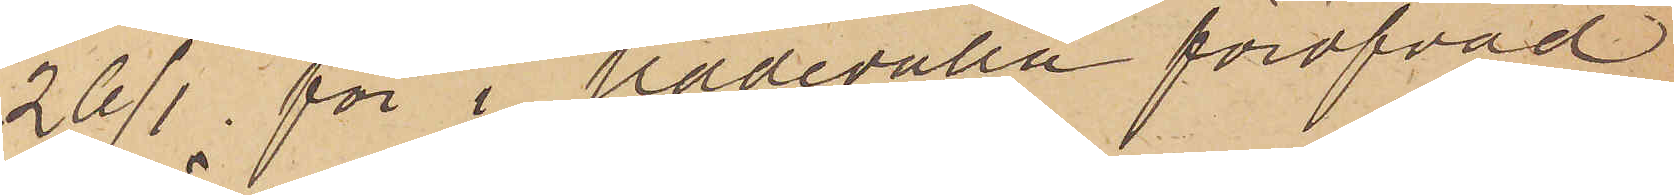26/1 för i Uddevalla föröfvad
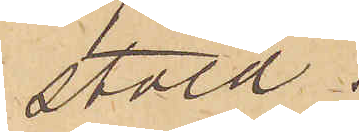stöld.
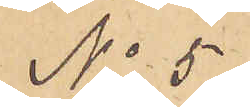No 5
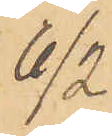6/2
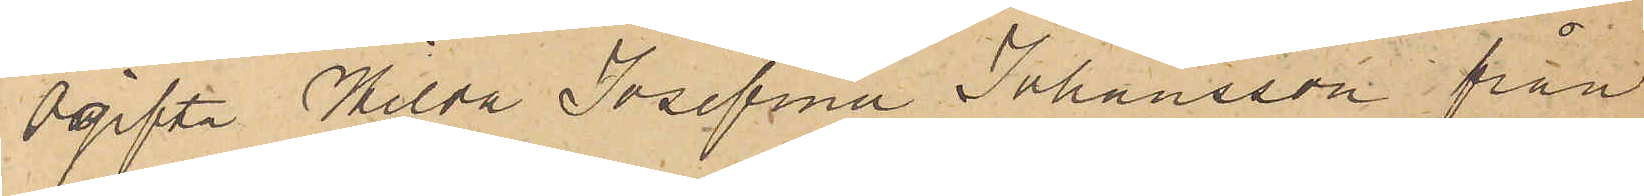Ogifta Hilda Josefina Johansson från
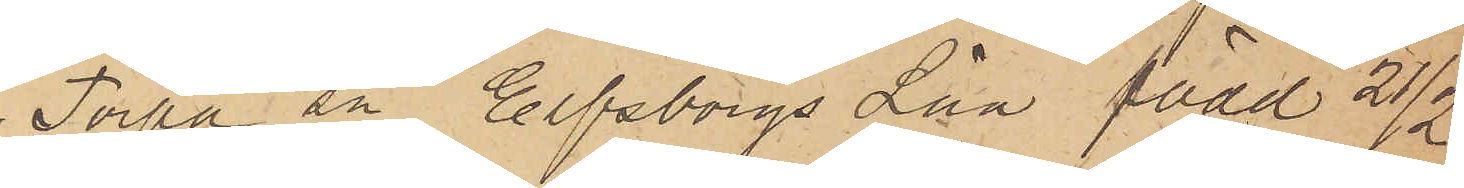Torpa sn Elfsborgs Län född 21/2
